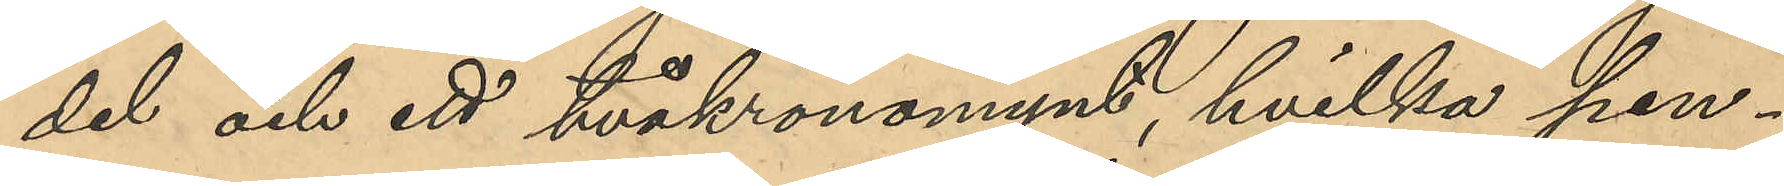del och ett tvåkronomynt, hvilka pen¬
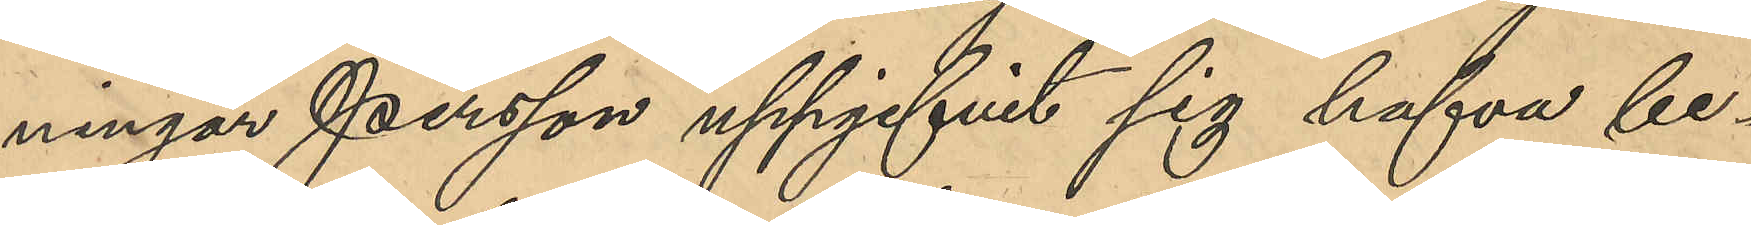ningar Persson uppgifvit sig hafva be¬
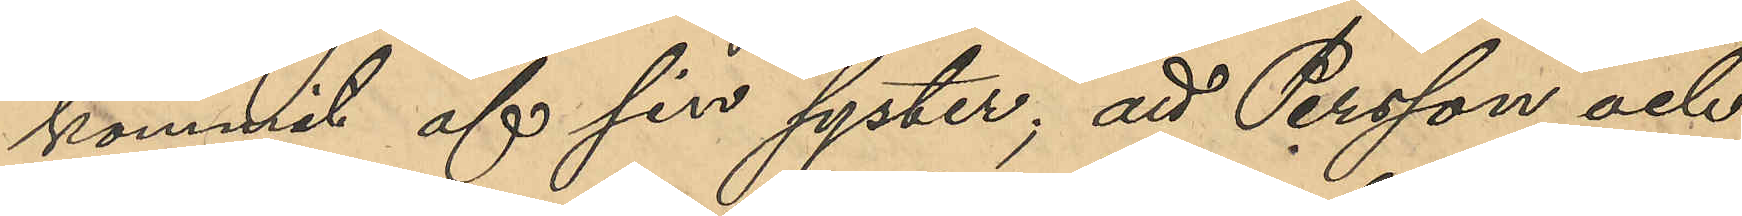kommit af sin syster; att Persson och 
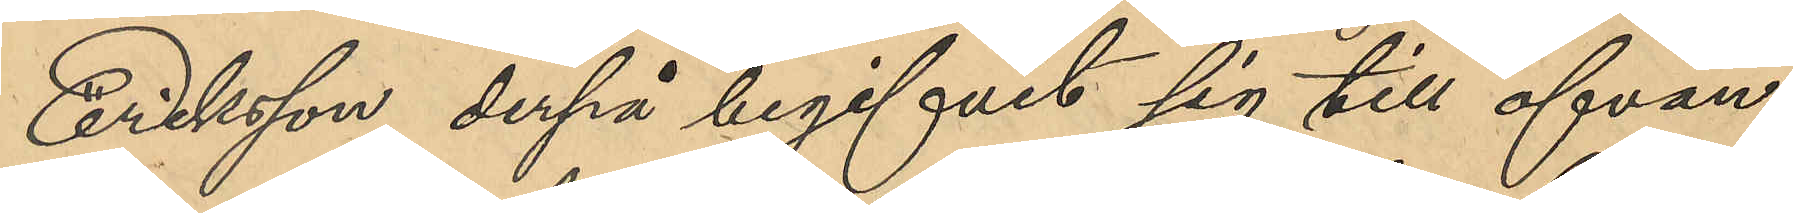Eriksson derpå begifvit sig till ofvan¬
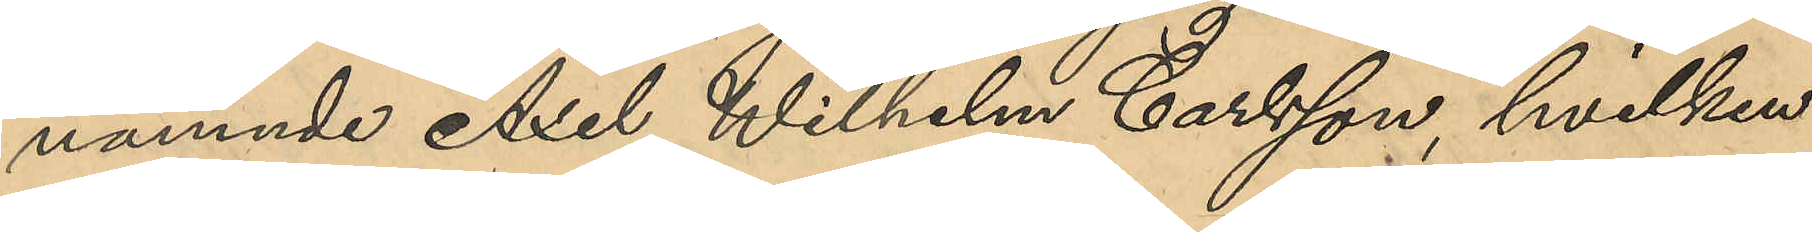nämnde Axel Wilhelm Carlsson, hvilken
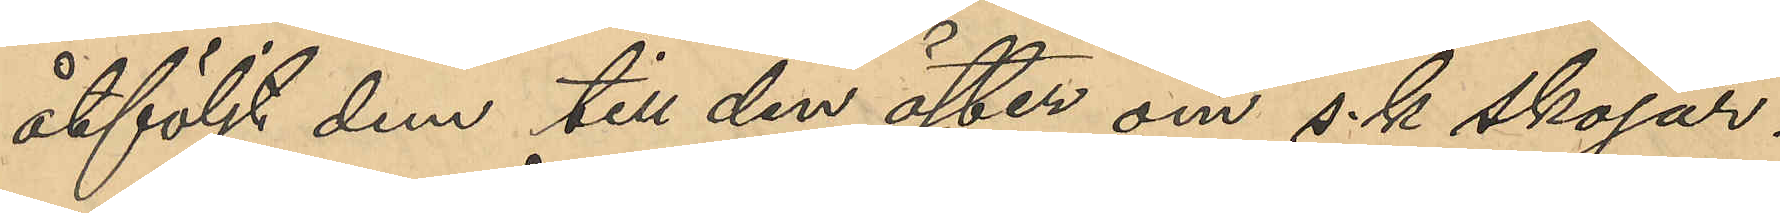åtföljt dem till den öster om s.k Skojar¬
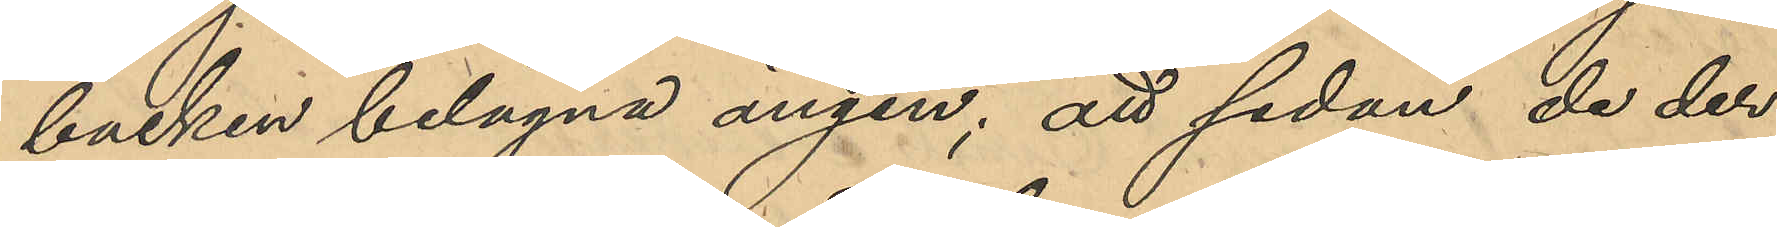backen belägna ängen; att sedan de der
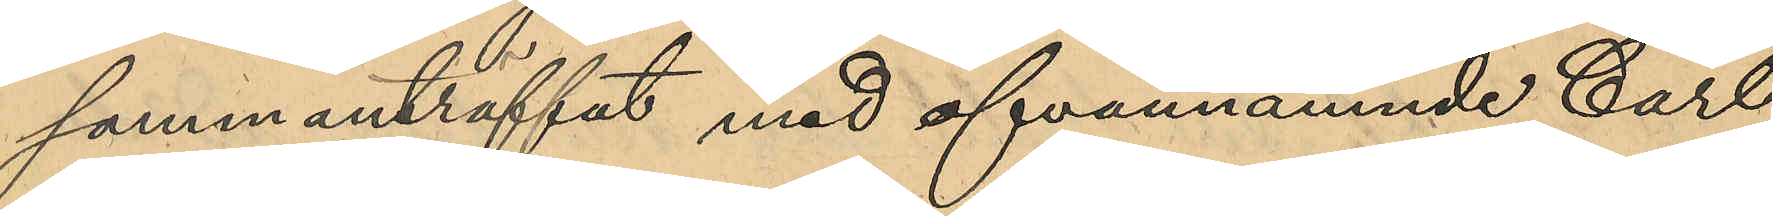sammanträffat med ofvannämnde Carl
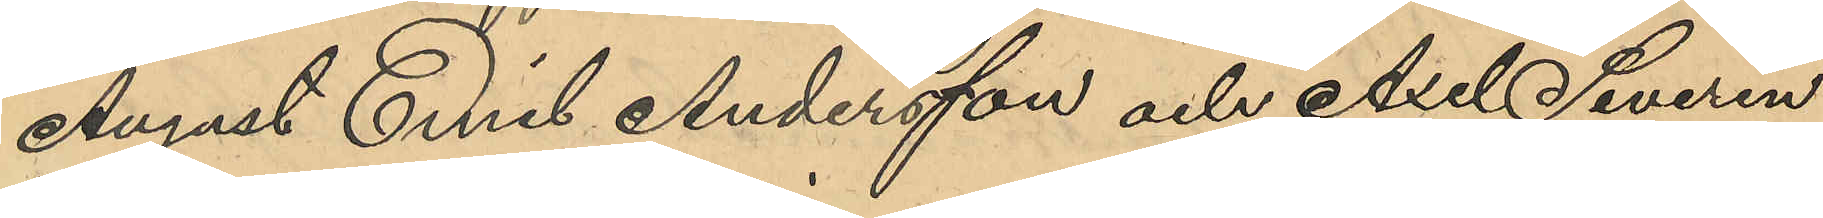August Emil Andersson och Axel Severin
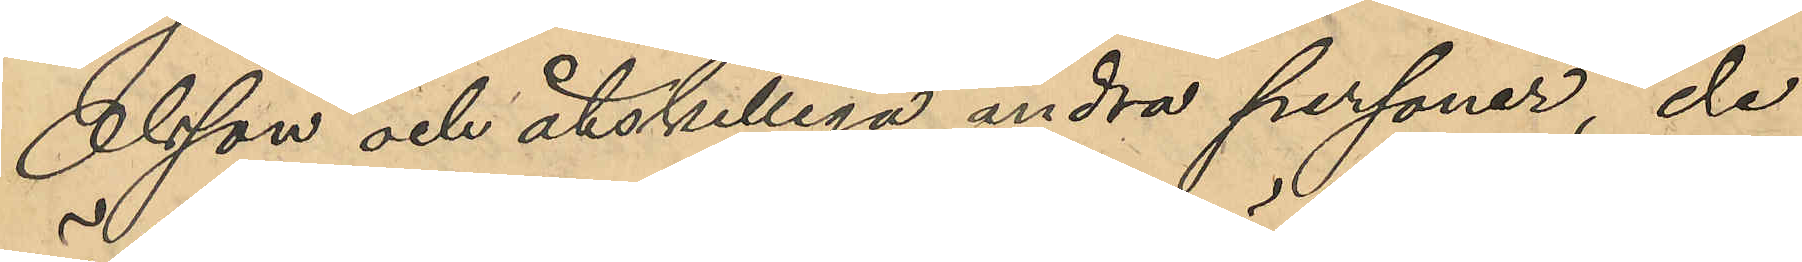Olsson och åtskilliga andra personer, de
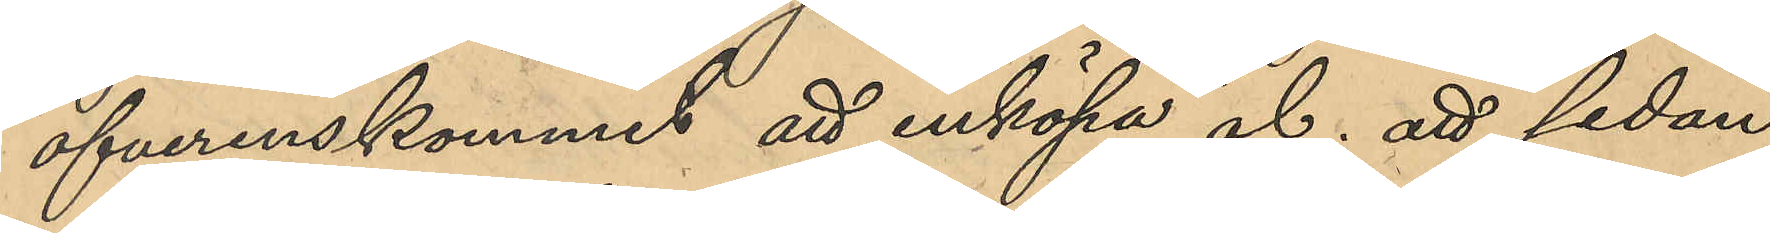öfverenskommit att inköpa öl; att sedan
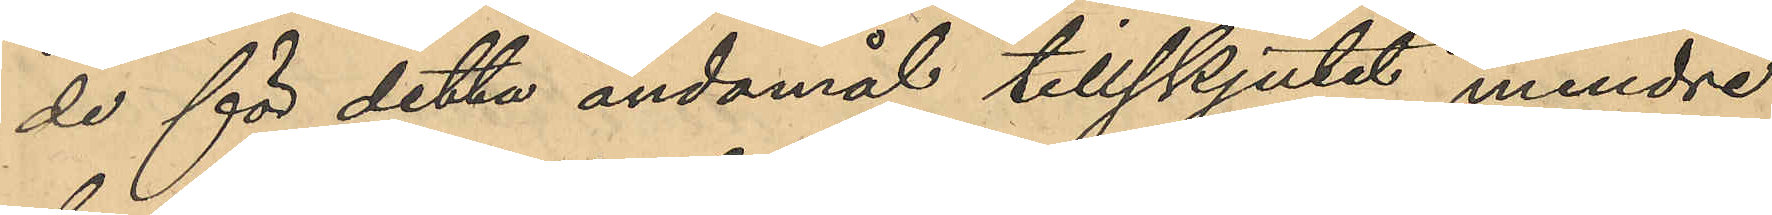de för detta ändamål tillskjutit mindre
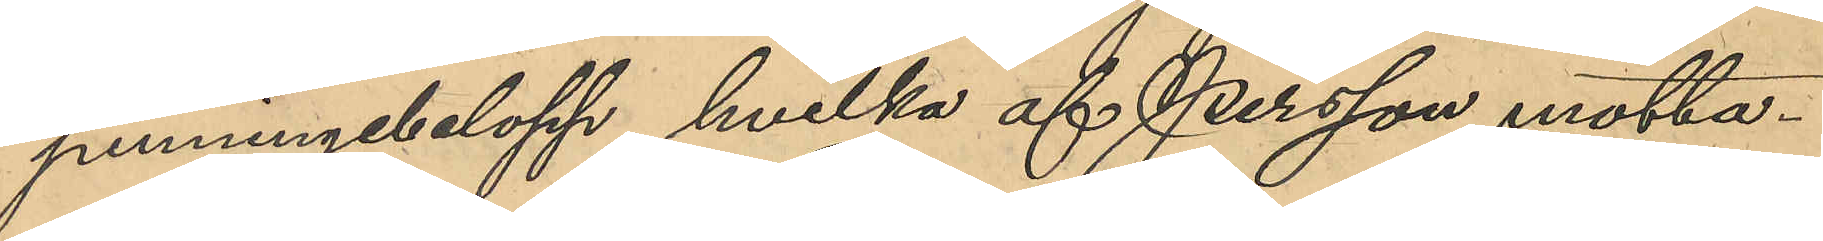penningbelopp, hvilka af Persson motta¬
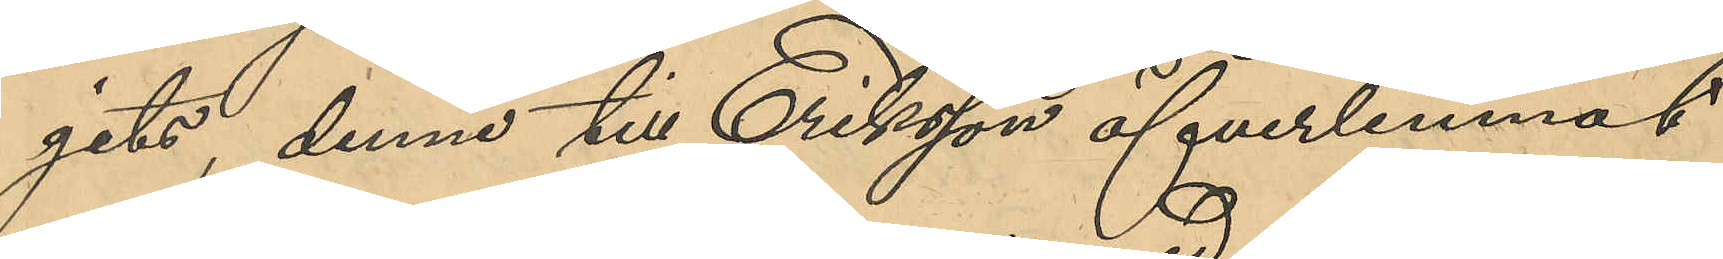gits, denne till Eriksson öfverlemnat
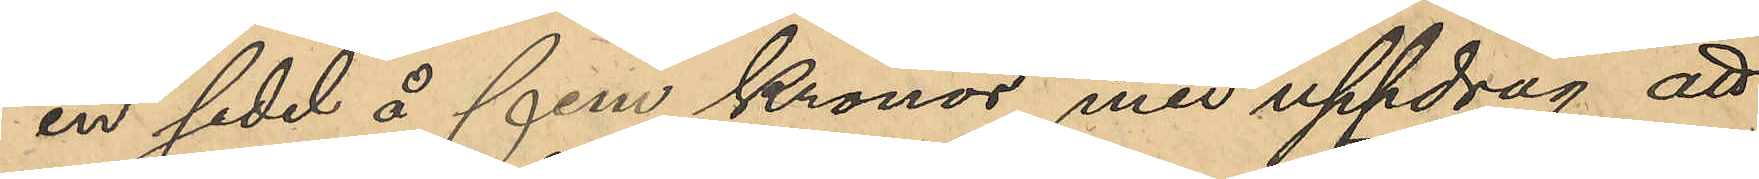en sedel å fem kronor med uppdrag att
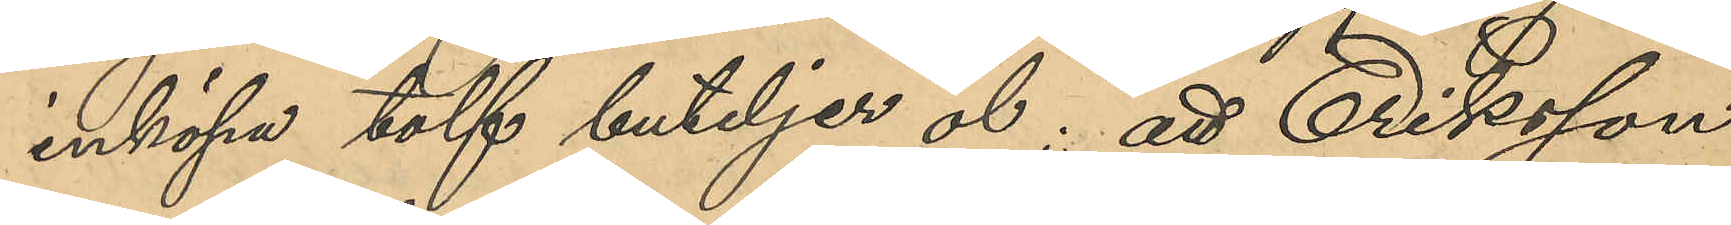inköpa tolv buteljer öl; att Eriksson
